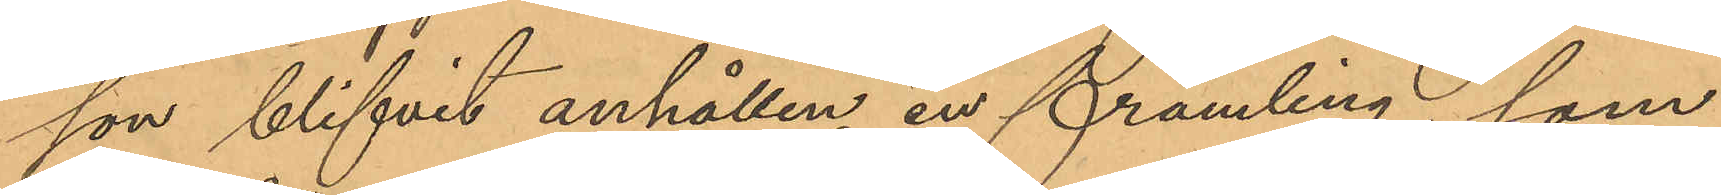son blifvit anhållen, en främling, som
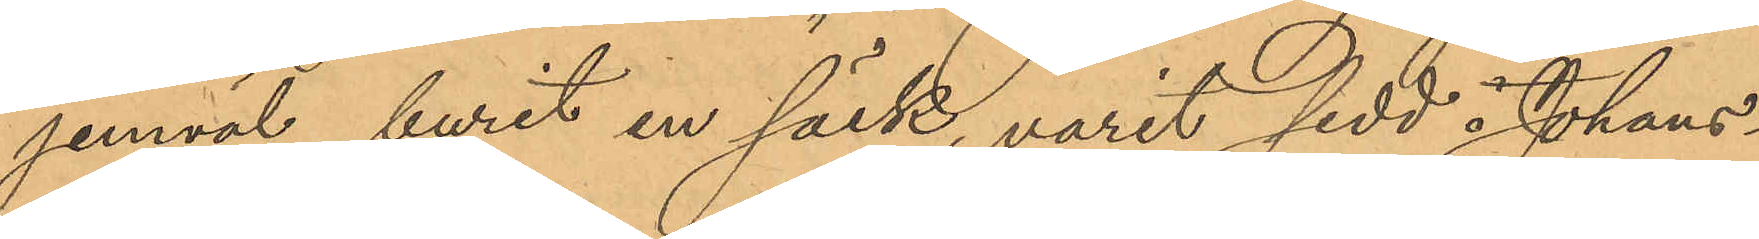jemväl, burit en säck, varit sedd i Johans¬
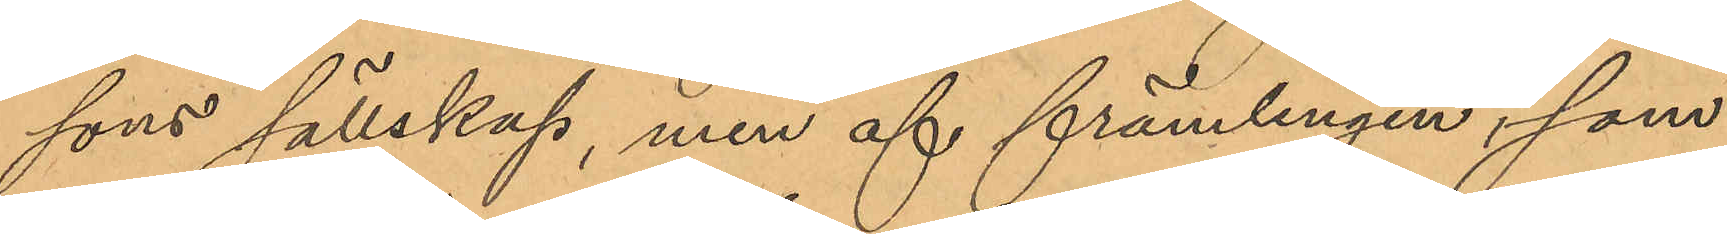sons sällskap, men af främlingen, som
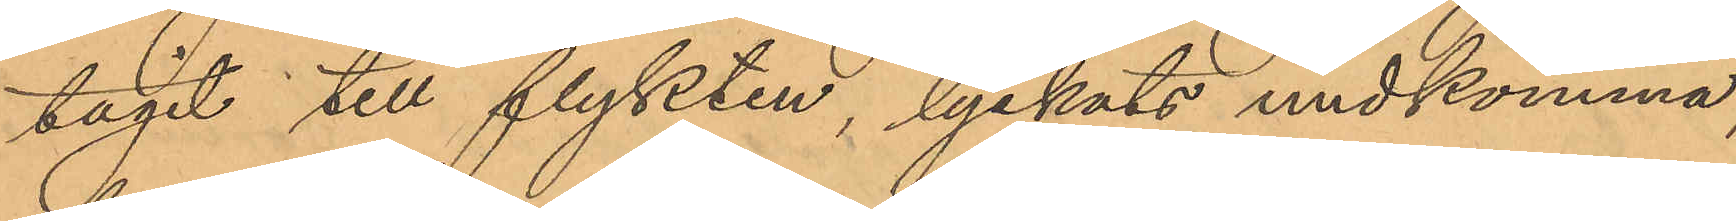tagit till flykten, lyckats undkomma,
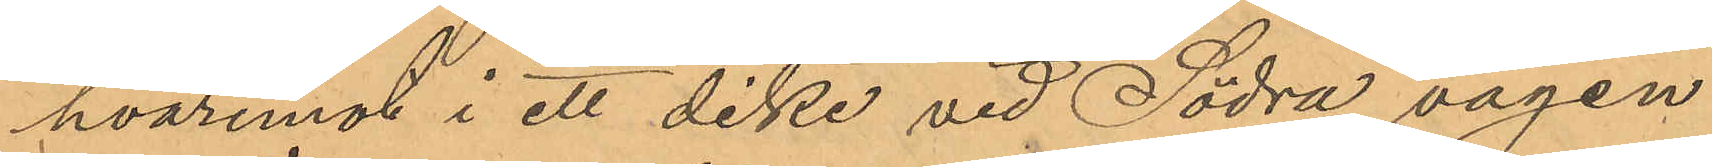hvaremot i ett dike vid Södra vägen
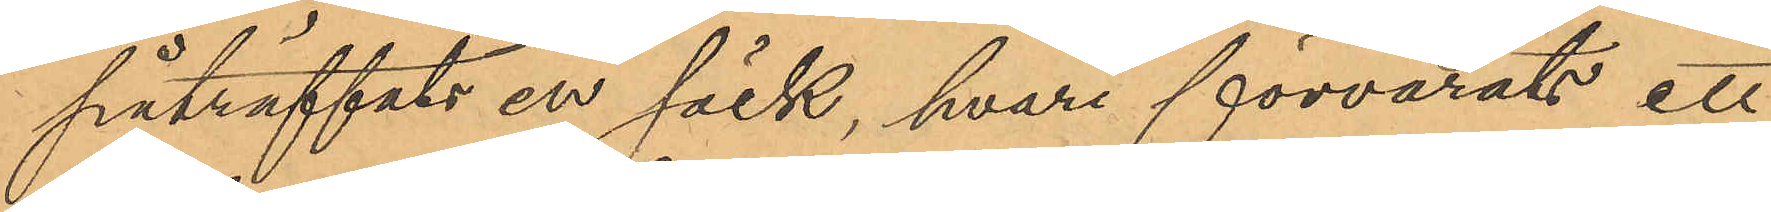påträffats en säck, hvari förvarats ett
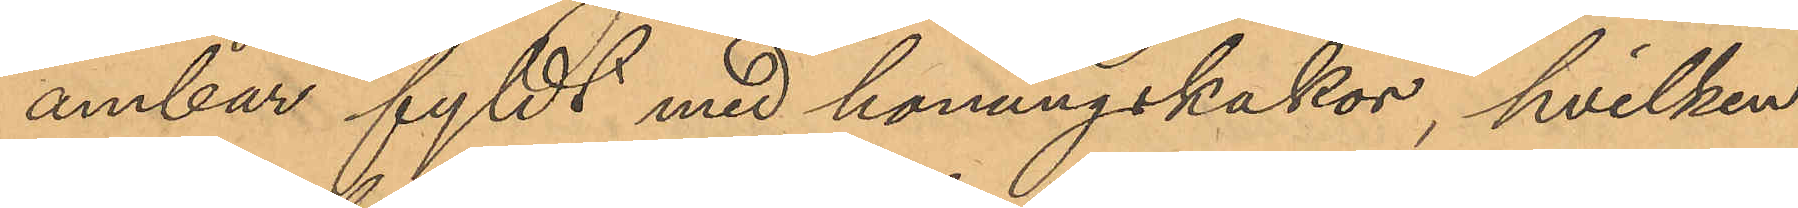ambar fyllt med honungskakor, hvilken
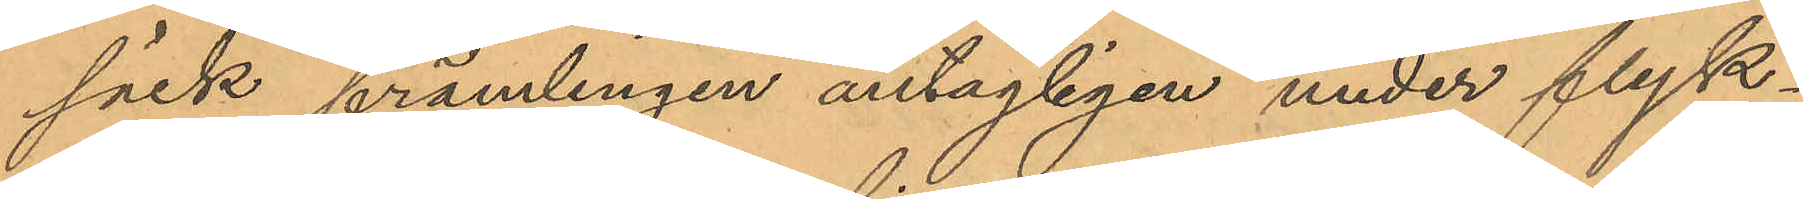säck främlingen antagligen under flyk¬
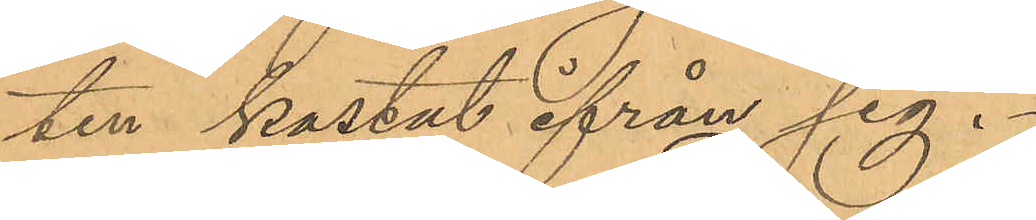ten kastat ifrån sig.
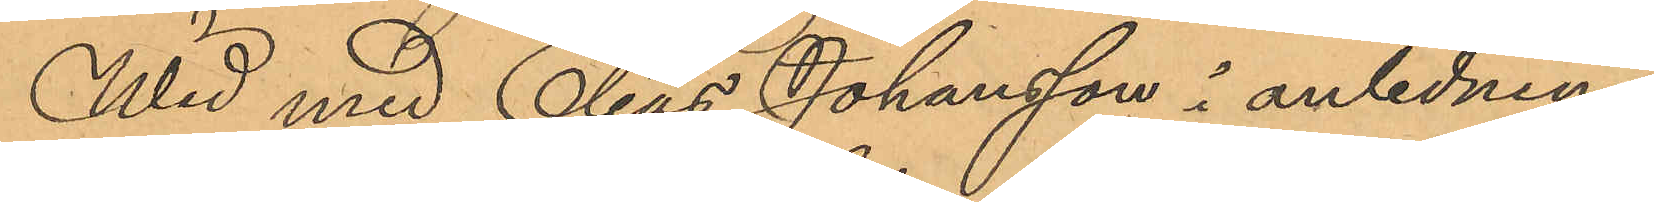Wid med Elias Johansson i anledning
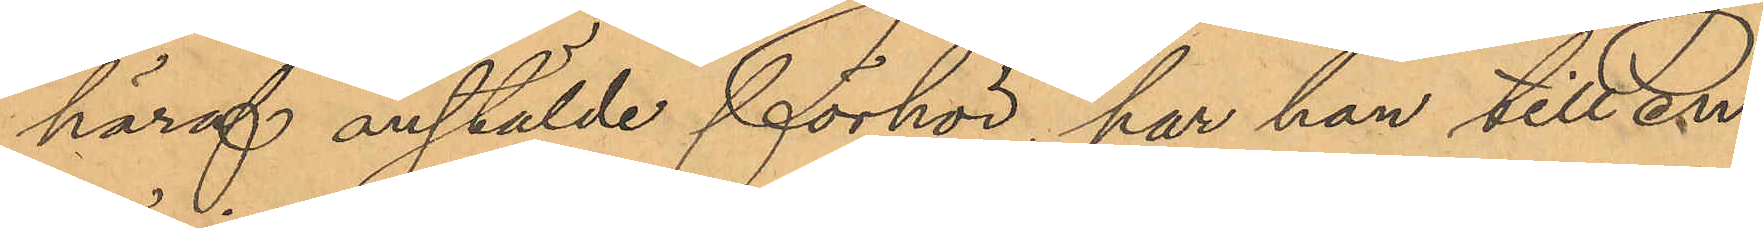häraf anstälde förhör, har han till en
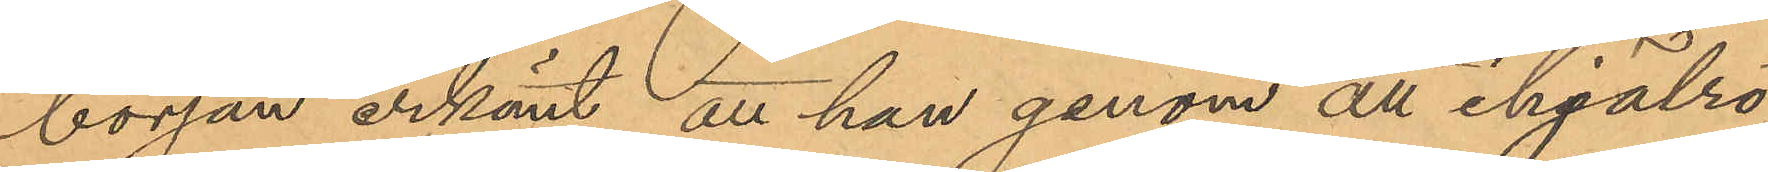början erkänt att han genom att ihjälrö¬
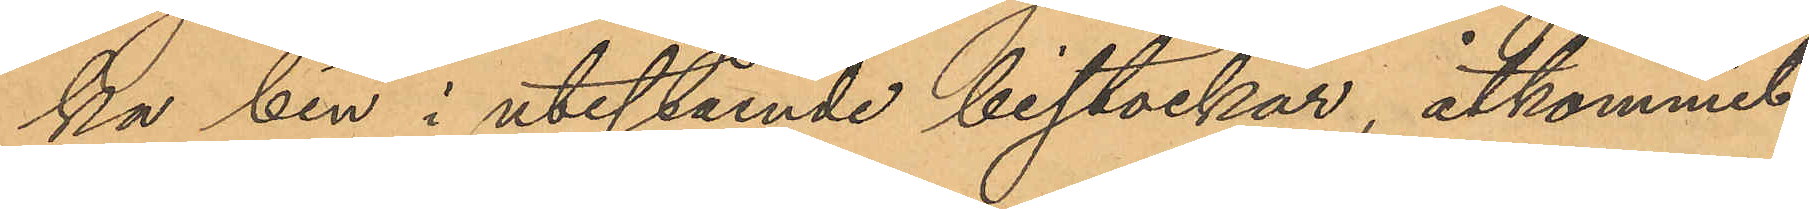ka bin i utestående bistockar, åtkommit
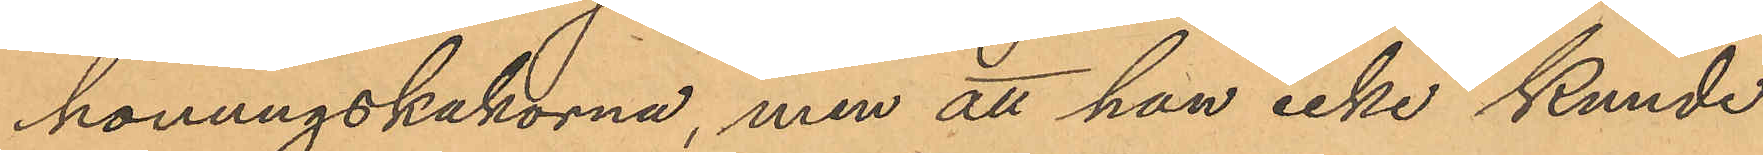honungskakorna, men att han icke kunde
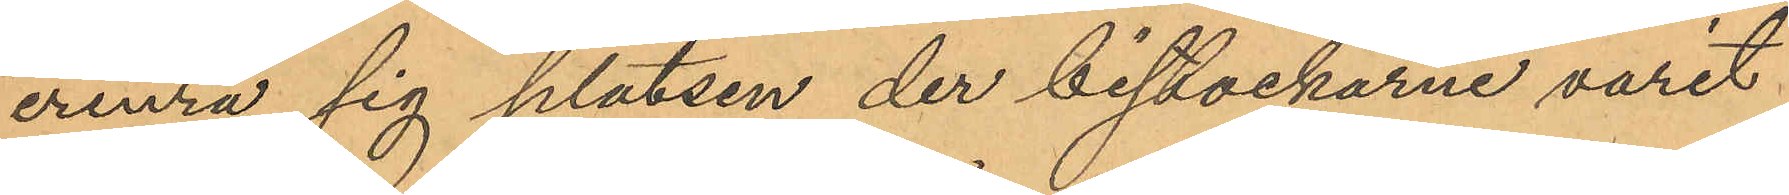erinra sig platsen der bistockarne varit
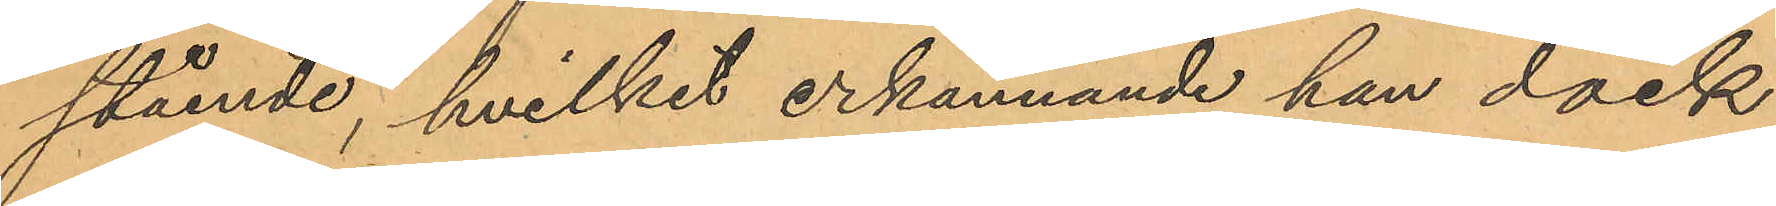stående, hvilket erkännande han dock
